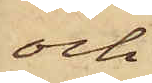och
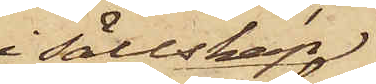i sällskap
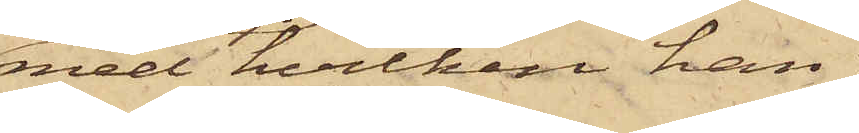med hvilken han
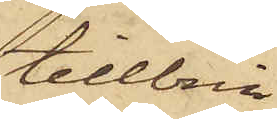tillbrin¬
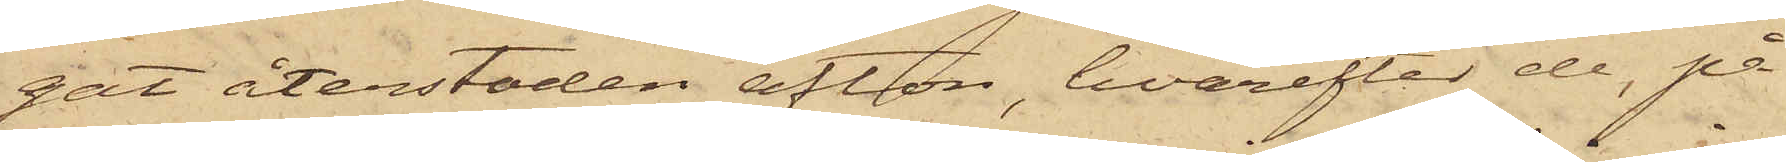gat återstoden afton, hvarefter de, på
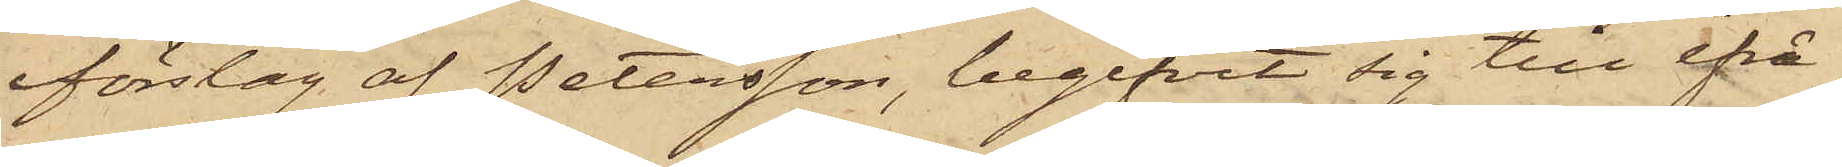förslag af Petersson, begifvit sig till ifrå¬
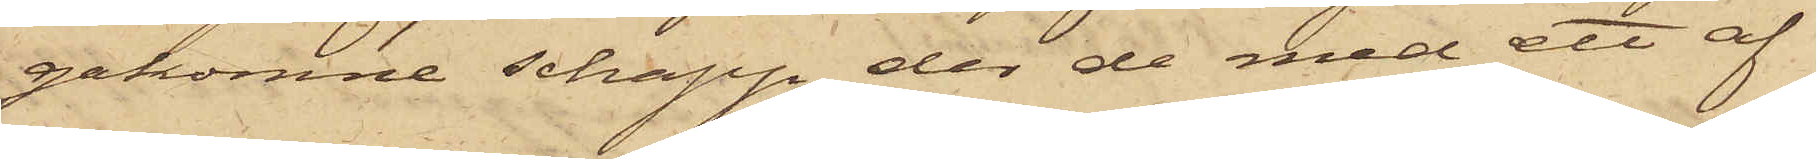gakomne schapp, der de med ett af
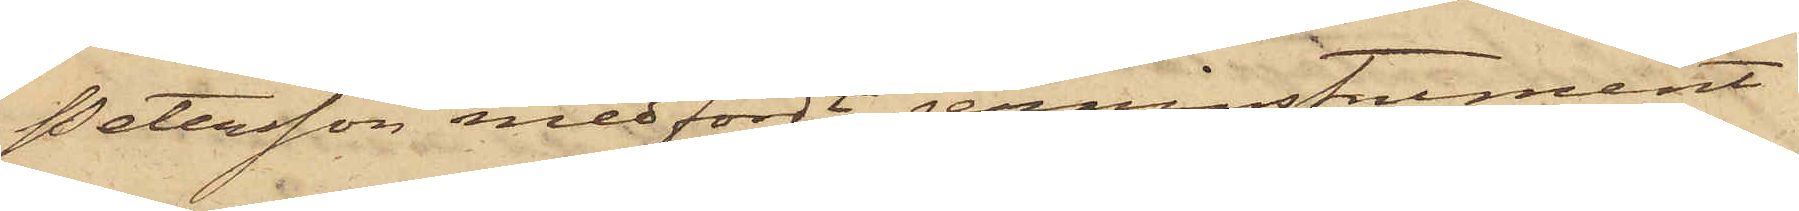Petersson medfördt jerninstrument
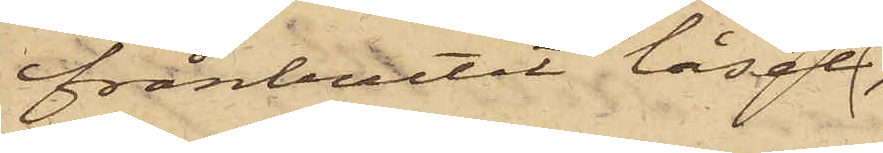frånbrutit låset
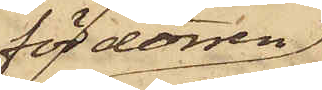för dörren,
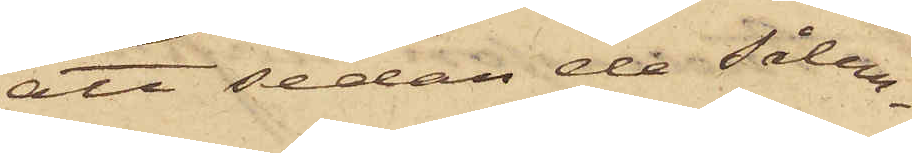att sedan de sålun¬
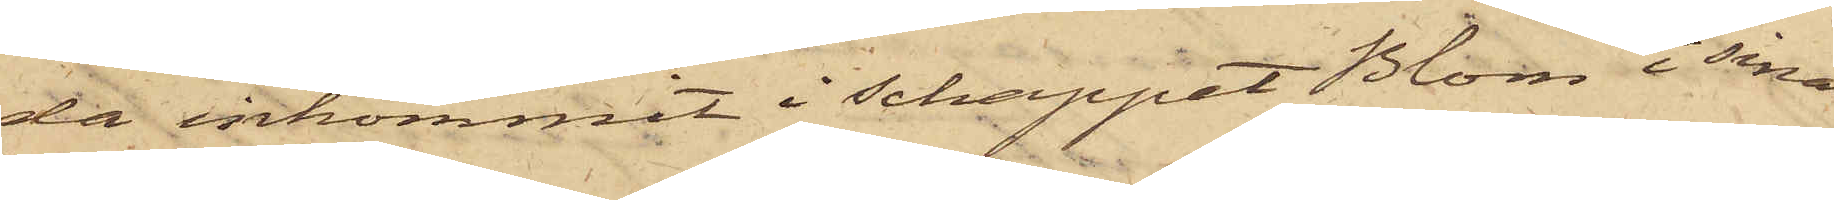da inkommit i Schappet Blom i sina
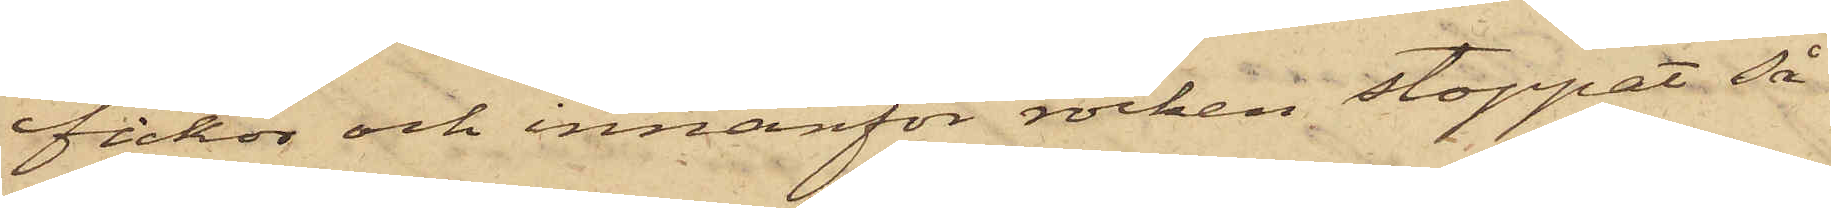fickor och innanför rocken stoppat så
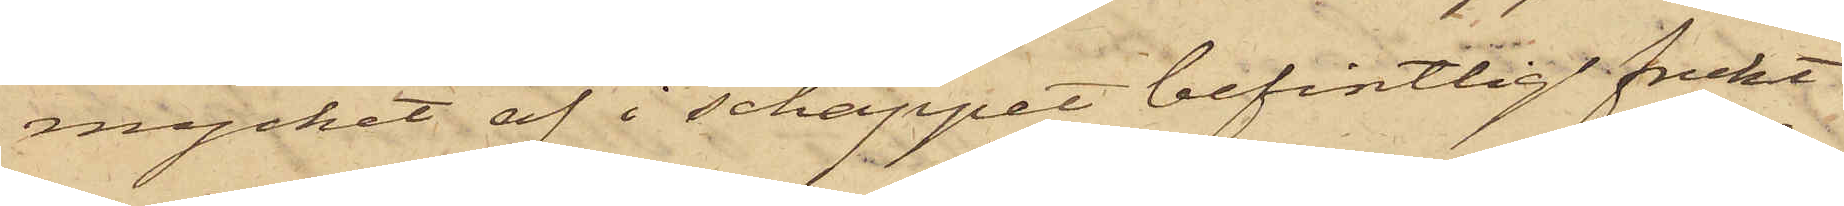mycket af i schappet befintlig frukt
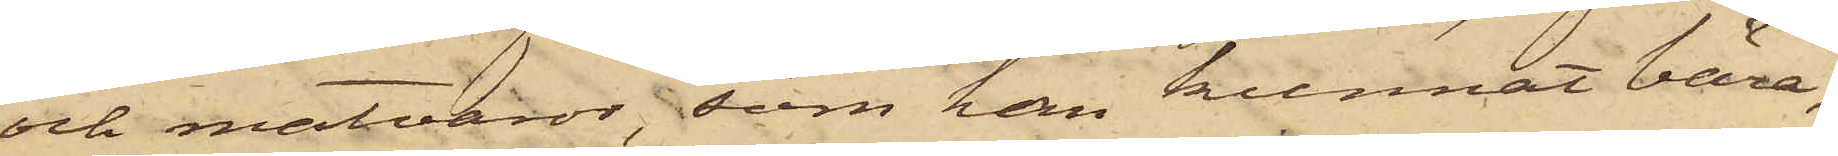och matvaror, som han kunnat bära,
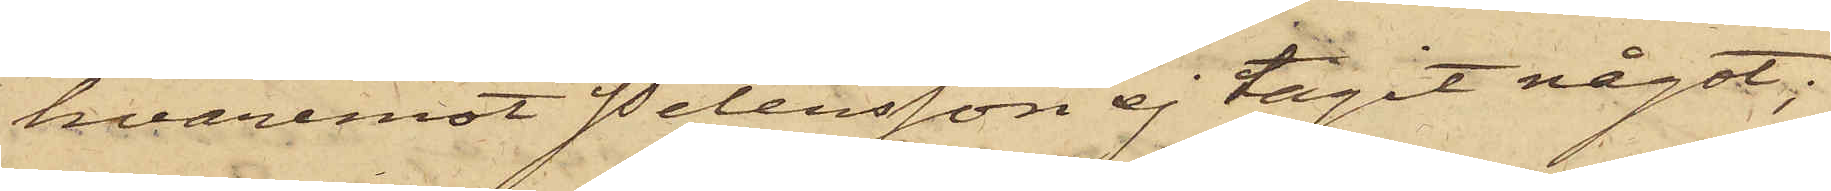hvaremot Petersson ej tagit något;
